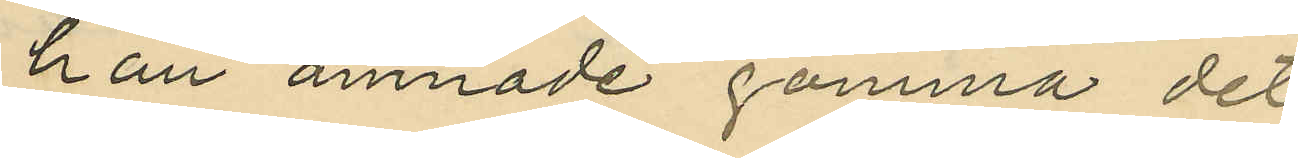han ämnade gömma det
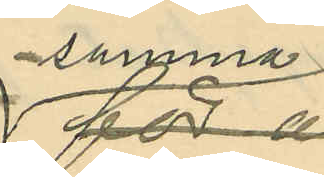¬samma
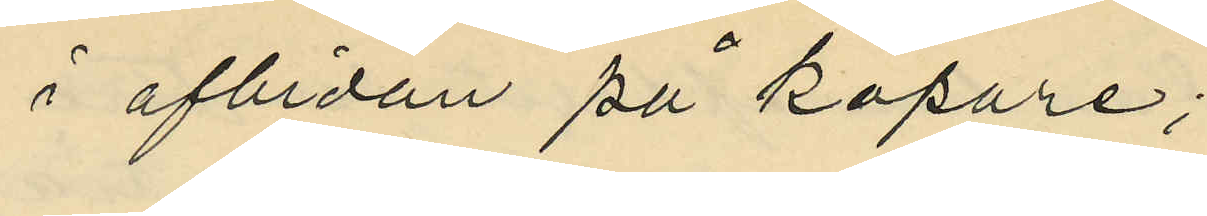i afbidan på köpare;
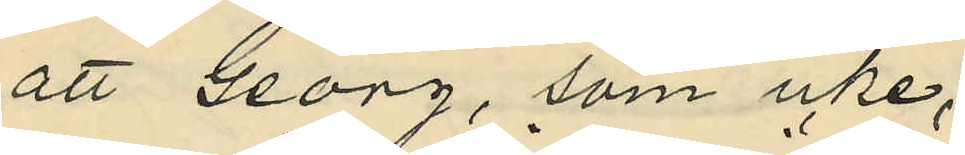att Georg, som icke,
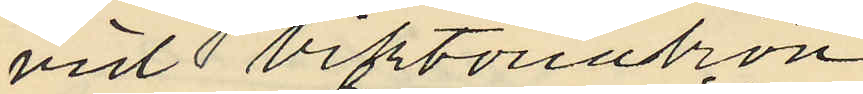vid Viktoriabron
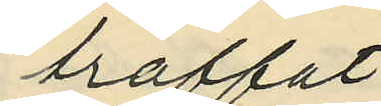träffat
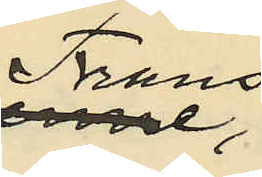Frans,
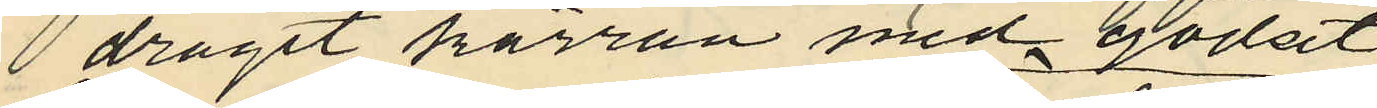dragit kärran med godset
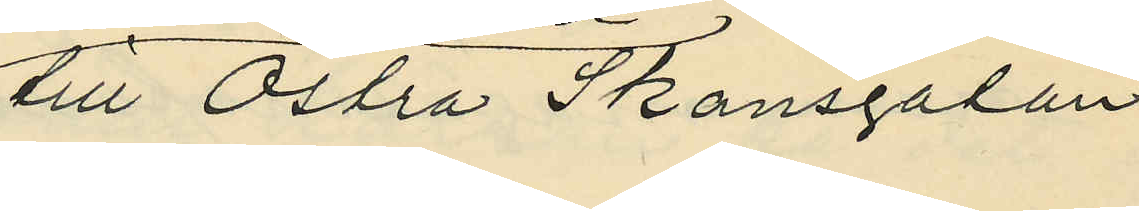till Östra Skansgatan
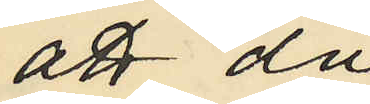att då
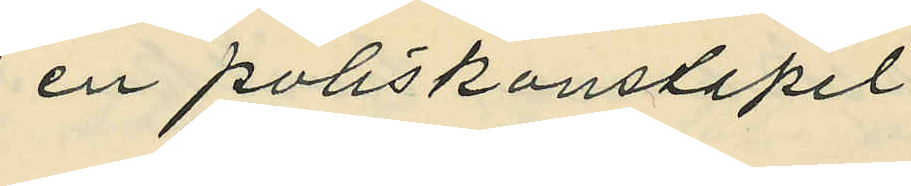en poliskonstapel
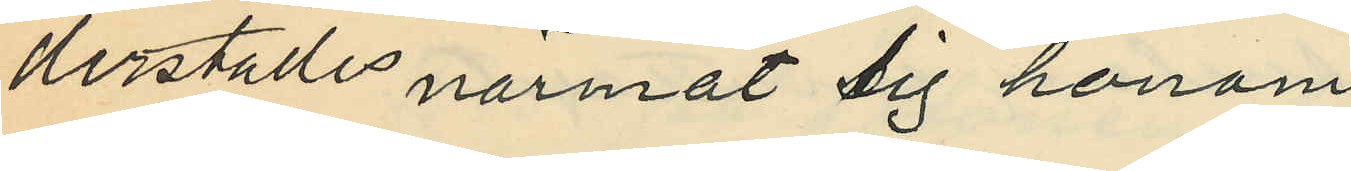derstädes närmat sig honom
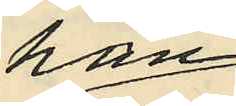han
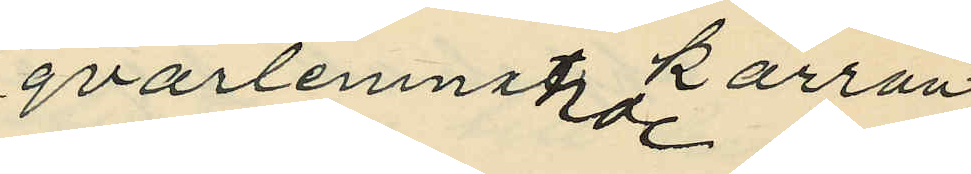qvarlemnande kärran
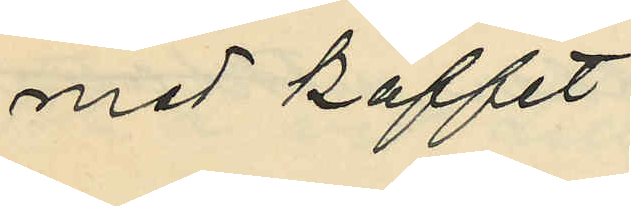med kaffet
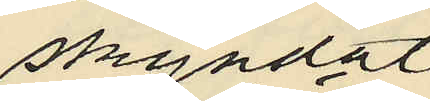skyndat
